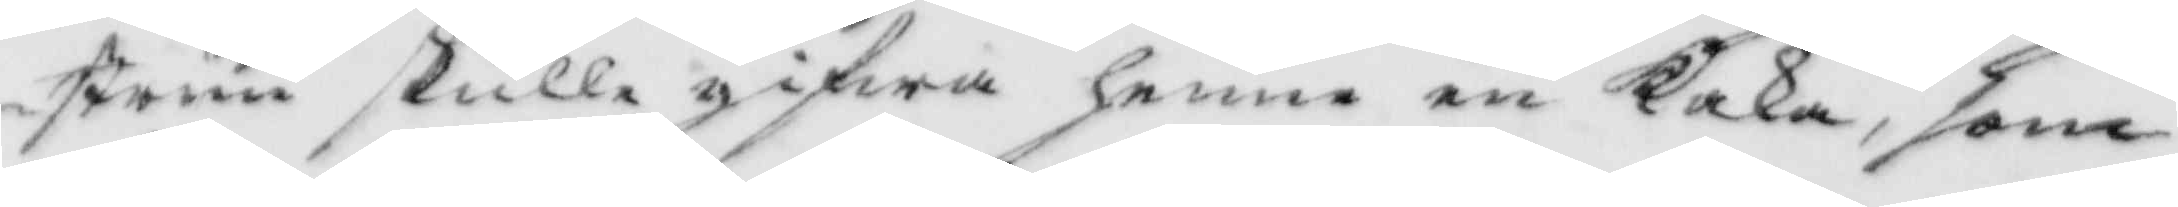strun skulle gifwa henne en Kaka, som
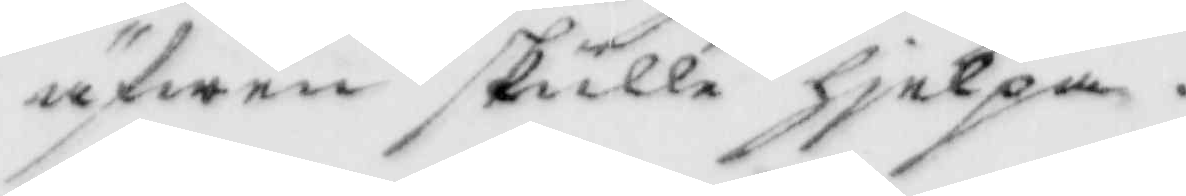äfwen skulle hjelpa.
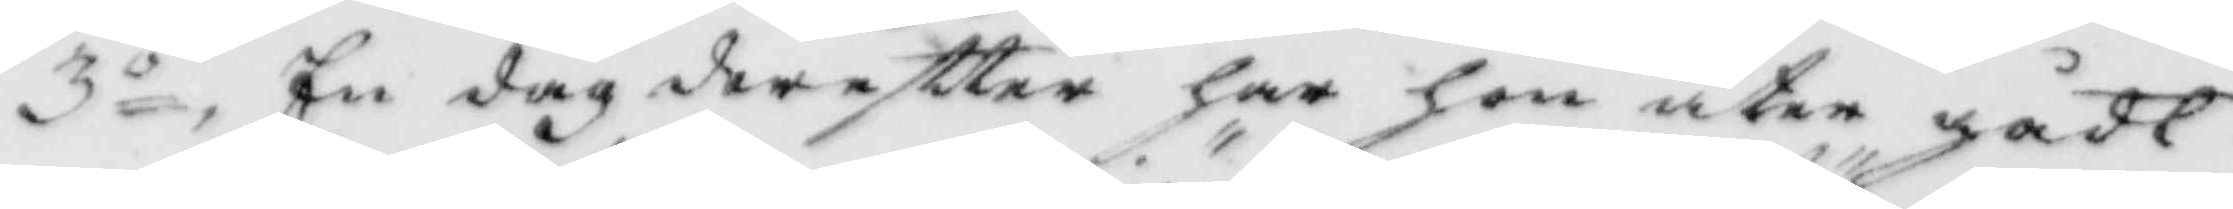3o, En dag derefttter har hon åter gådt
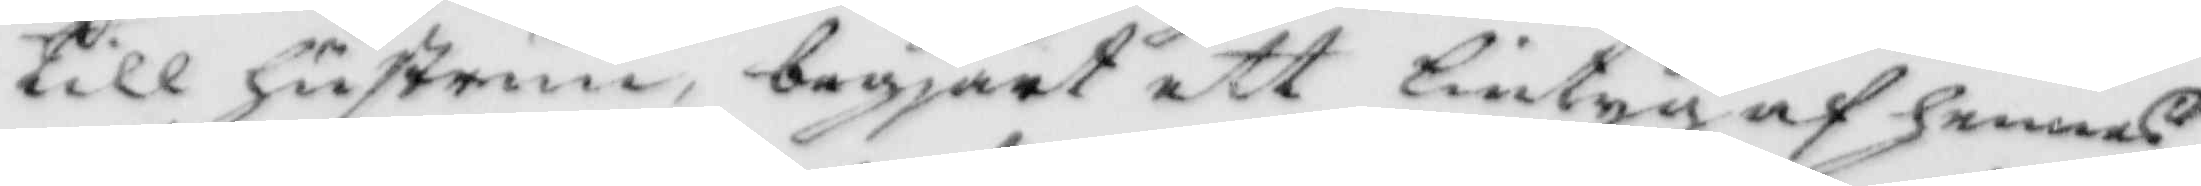till hustrun, begjärt ett lintyg af hennes,
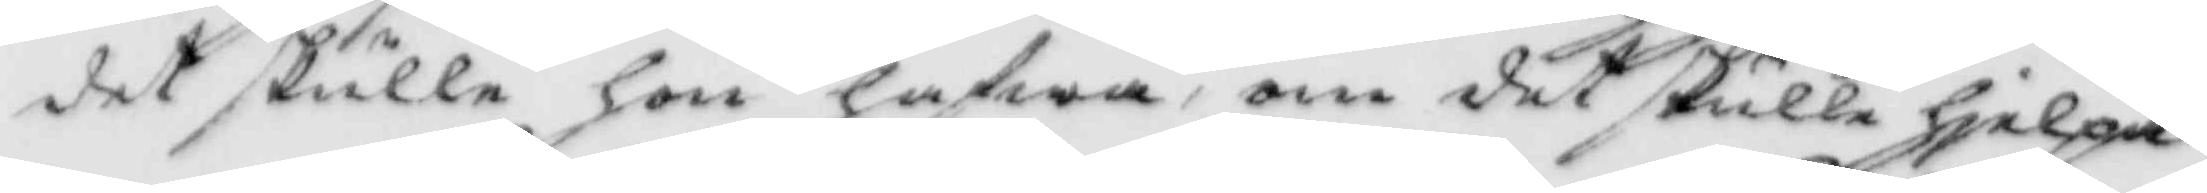det skulle hon hafwa, om det skulle hjelpa,
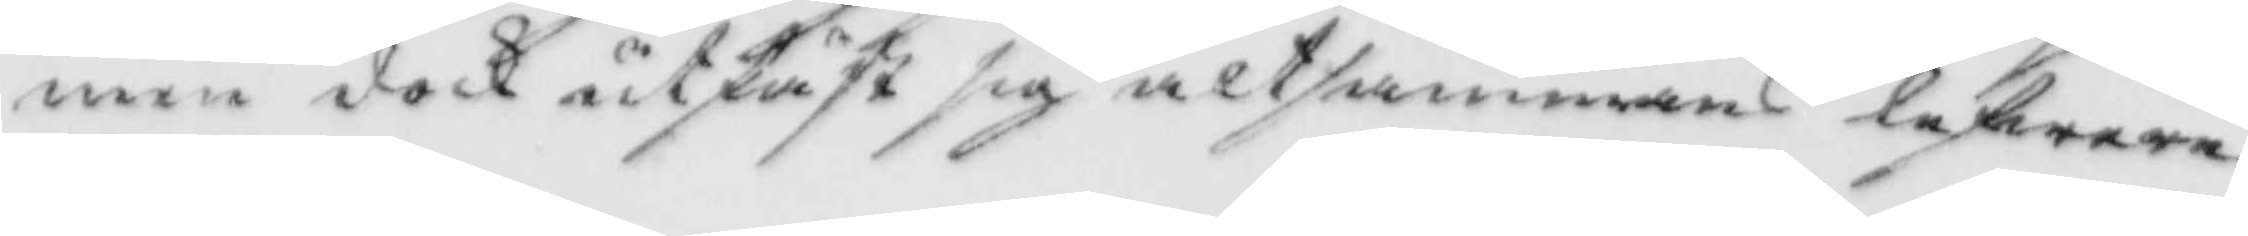men dock utfäst sig altsammans lefwerer¬
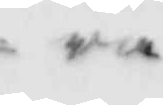ra
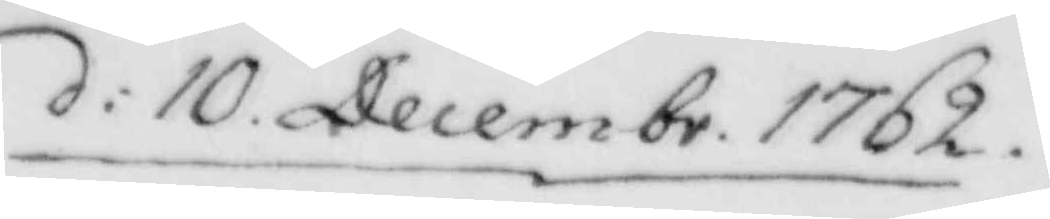d: 10 Decembr. 1762.
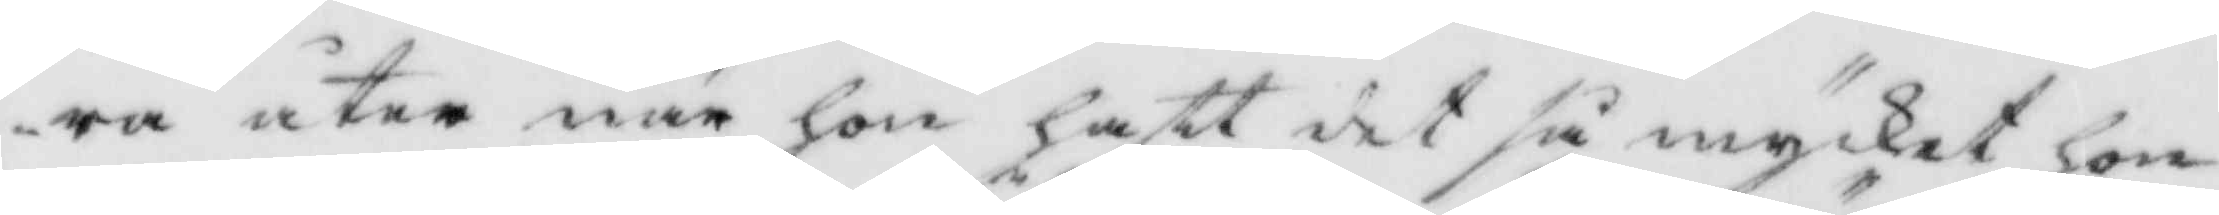ra åter när hon haft det så mycket hon
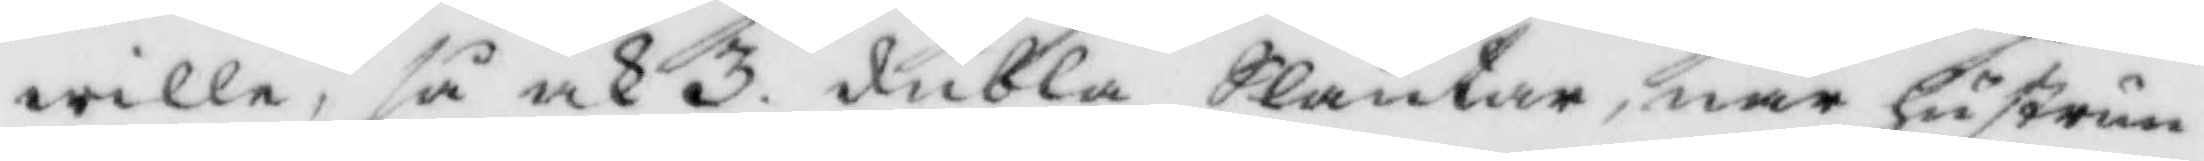wille, så ock 3. dubbla Slantar, när hustrun
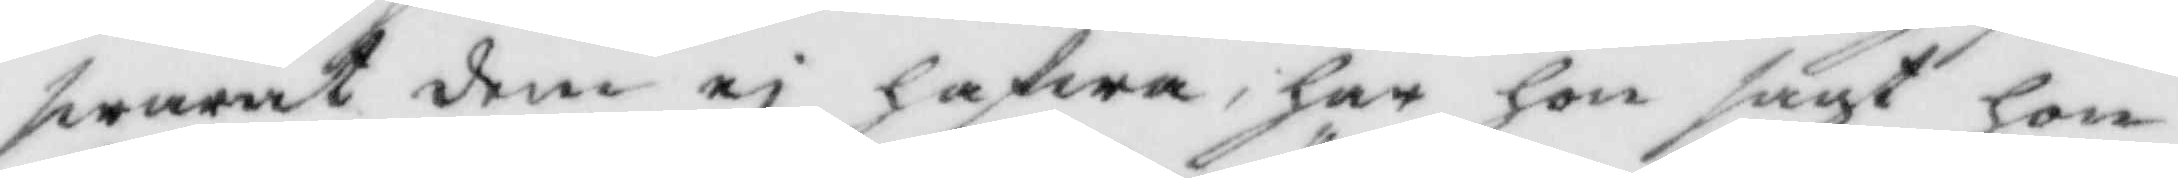swarat dem ei hafwa, har hon sagt hon
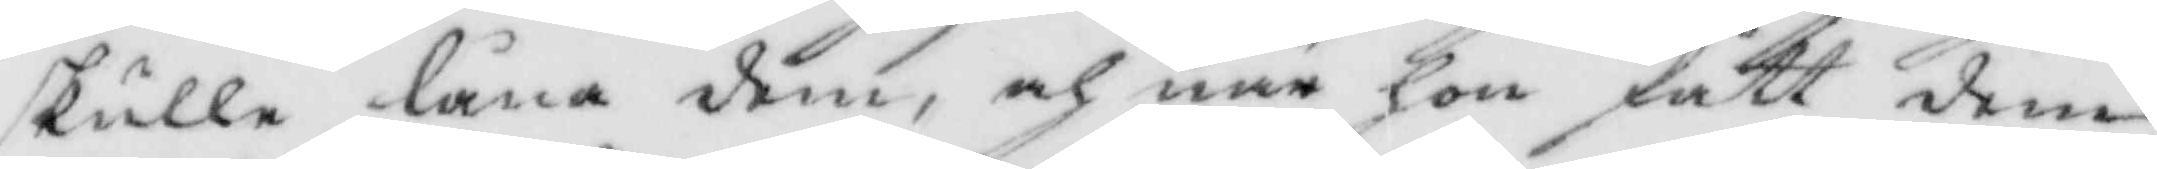skulle låna dem, och när hon fått dem,
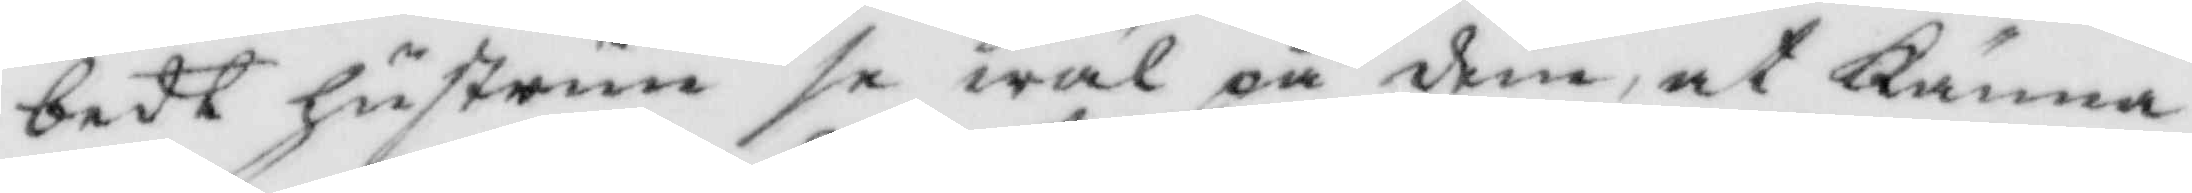bedt hustrun se wäl på dem, at Känna
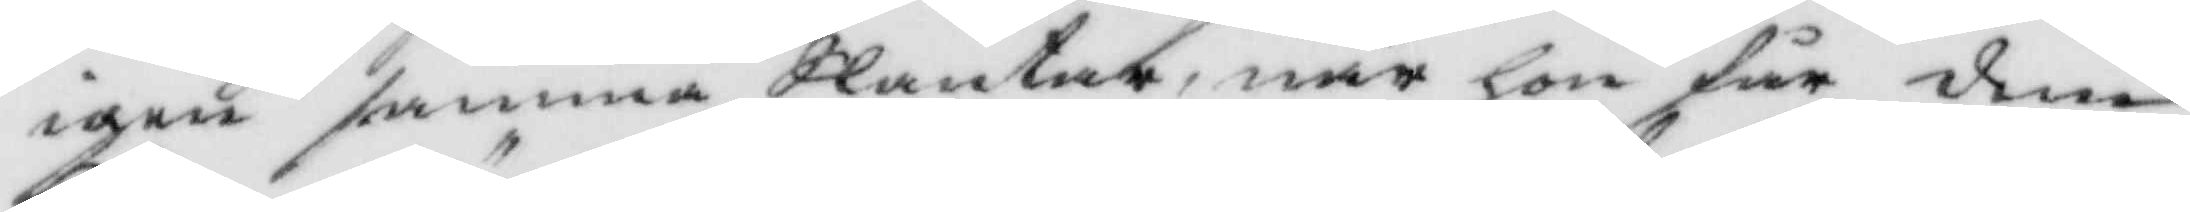igen samma Slantar, när hon får dem
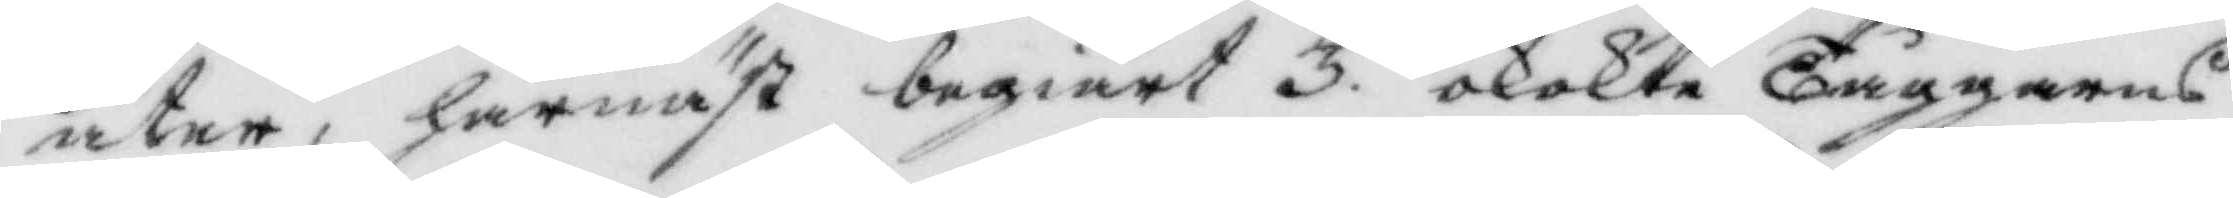åter, härnäst begiördt 3. okokta Tåggarns
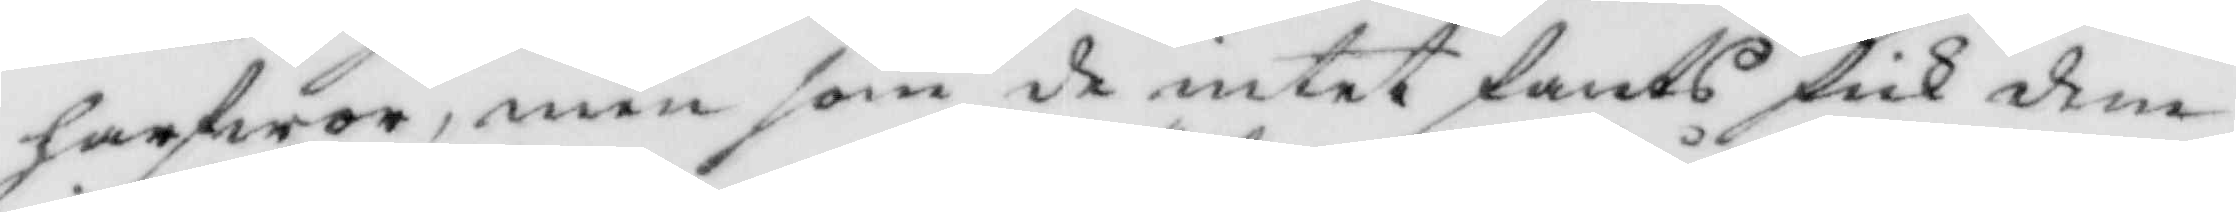harfwor, men som de intet fants fick dem
